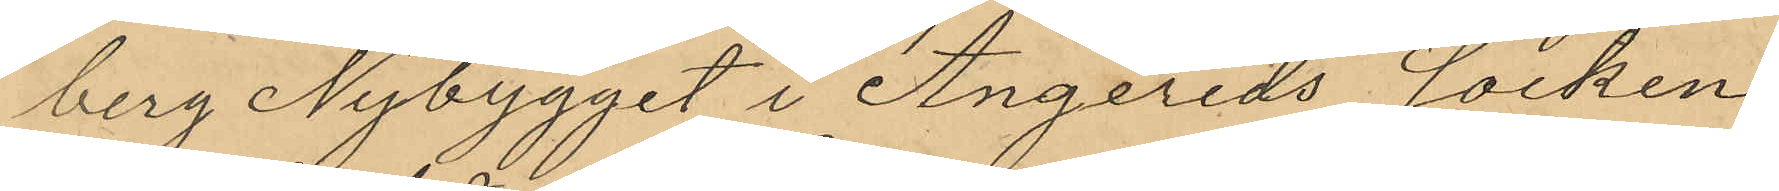berg Nybygget i Angereds socken
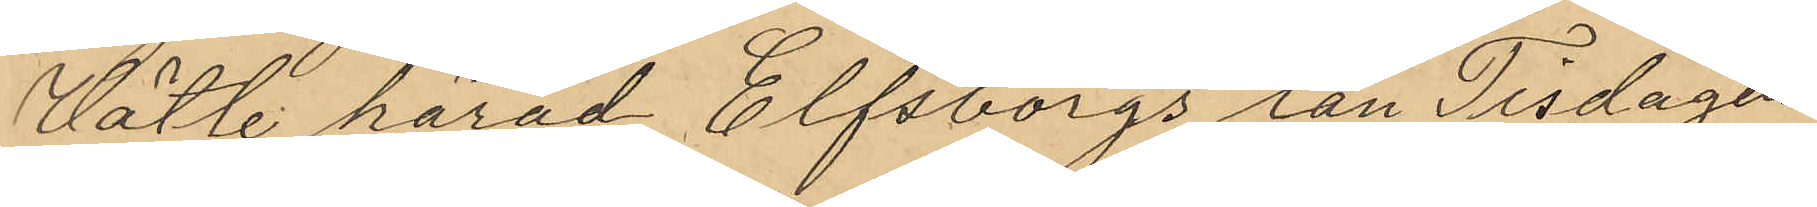Vätle härad Elfsborgs län Tisdagen
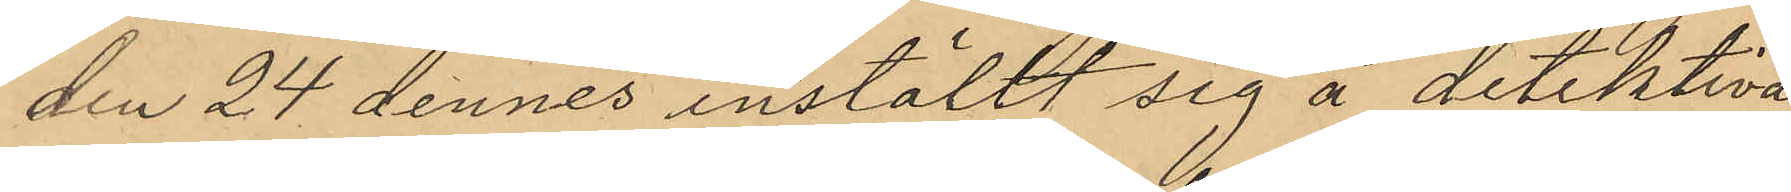den 24 dennes inställt sig å detektiva¬
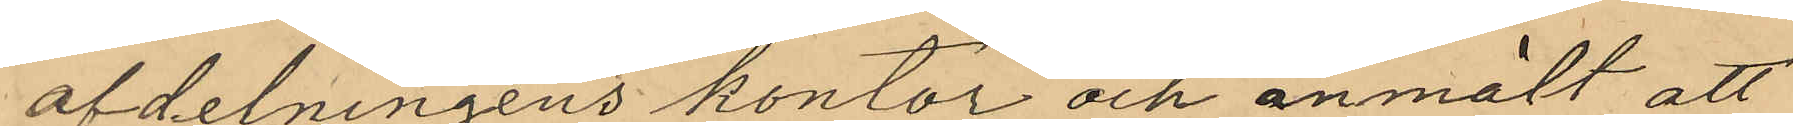afdelningens kontor och anmält att
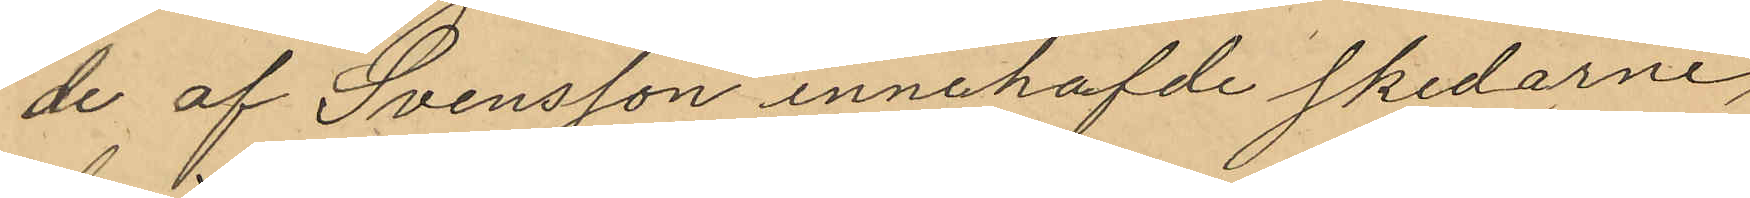de af Svensson innehafde skedarne,
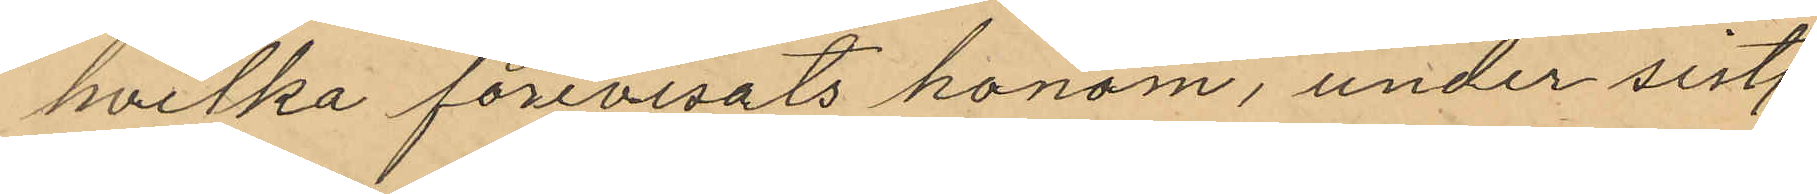hvilka förevisats honom, under sistl.
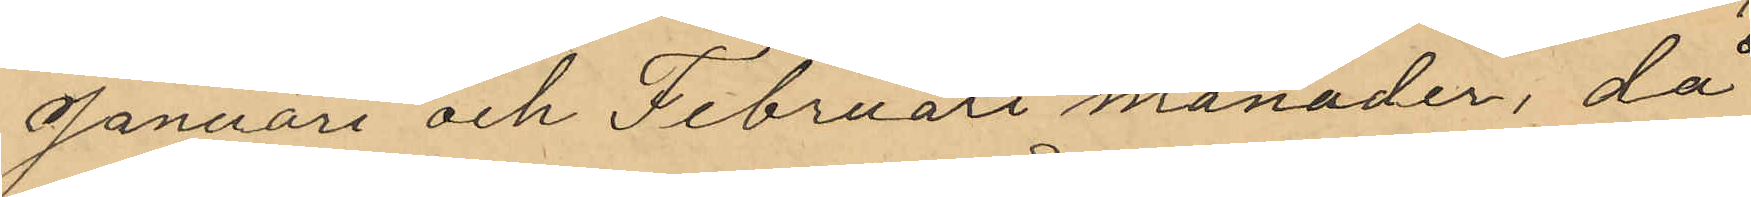Januari och Februari månader, då
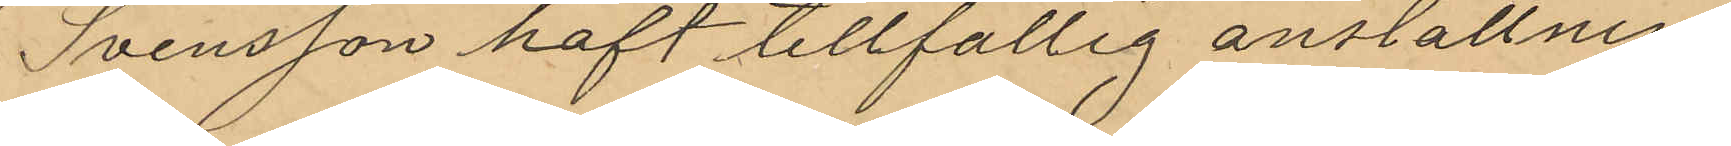Svensson haft tillfällig anställning
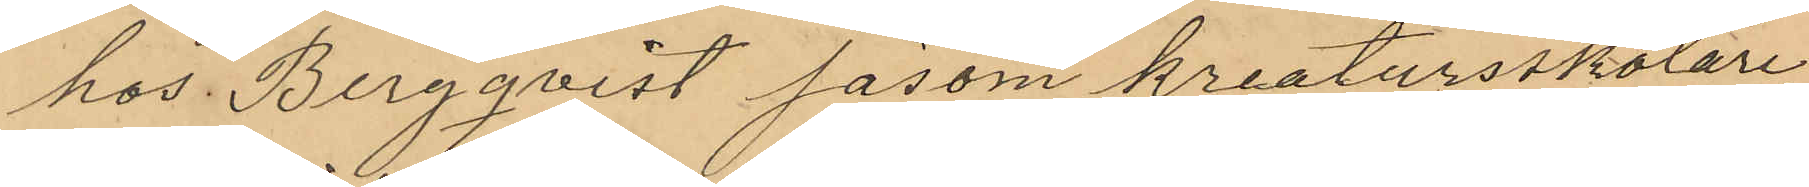hos Bergqvist såsom kreatursskötare,
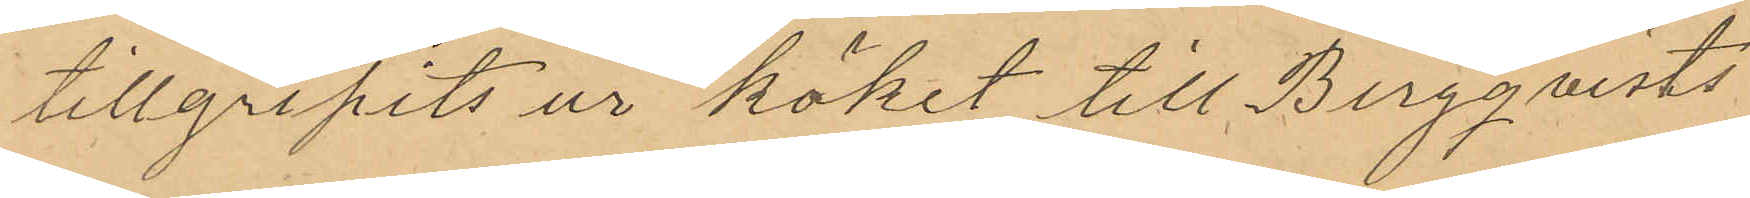tillgripits ur köket till Bergqvists
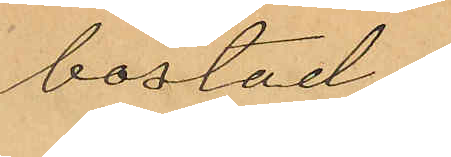bostad
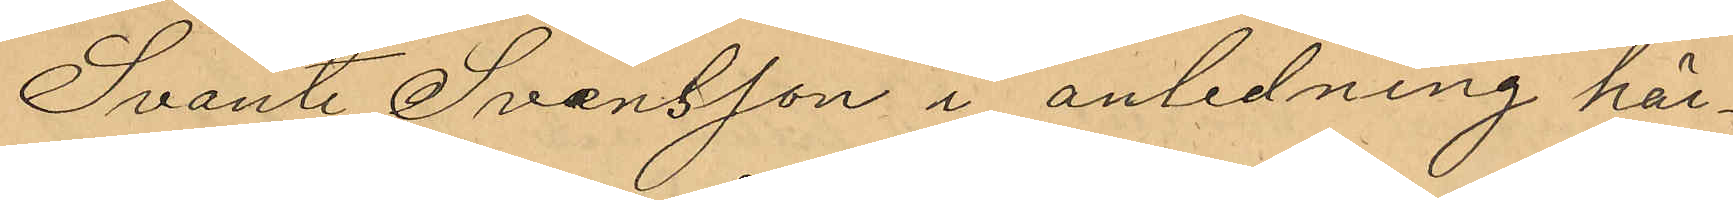Svante Svensson i anledning här¬
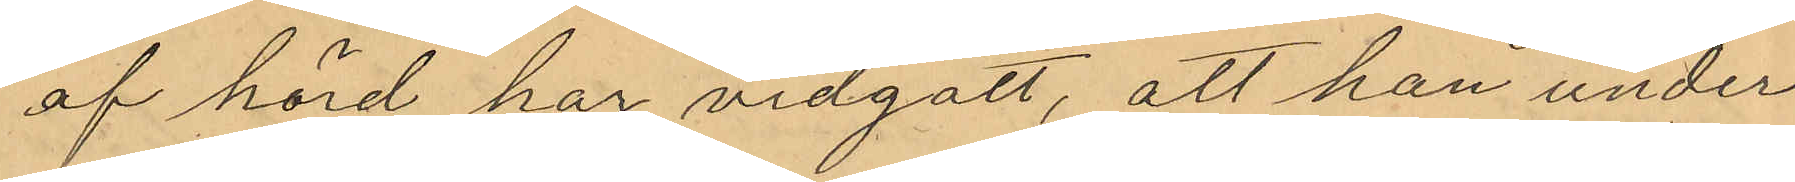af hörd har vidgått, att han under
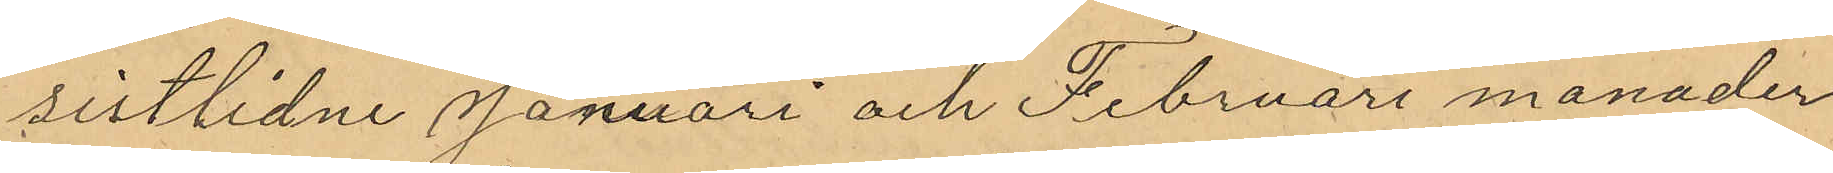sistlidne Januari och Februari månader
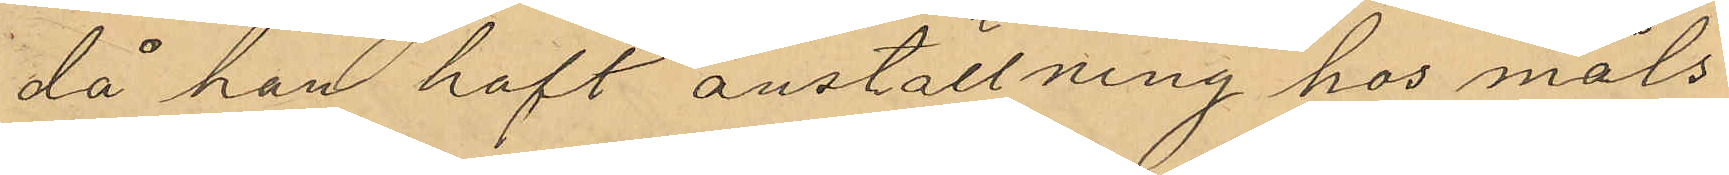då han haft anställning hos måls¬
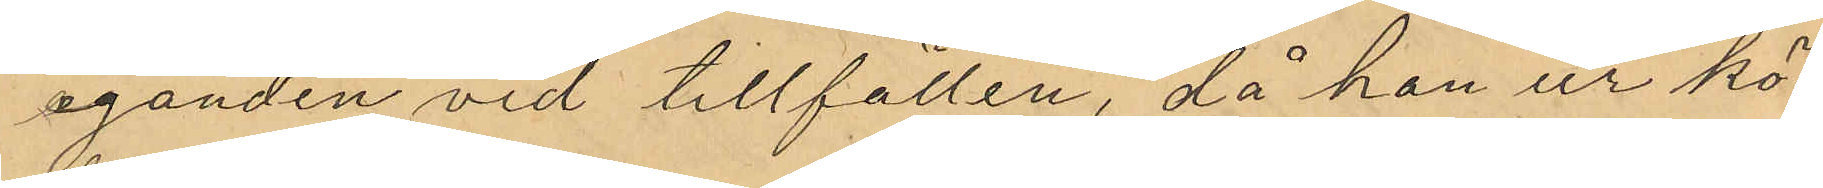eganden vid tillfällen, då han ur kö¬
